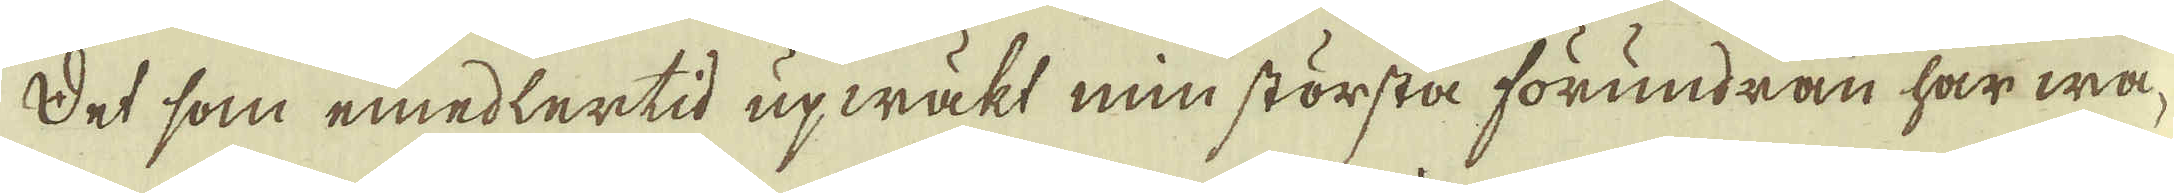Det som emedlertid upwäkt min största förundran har wa-
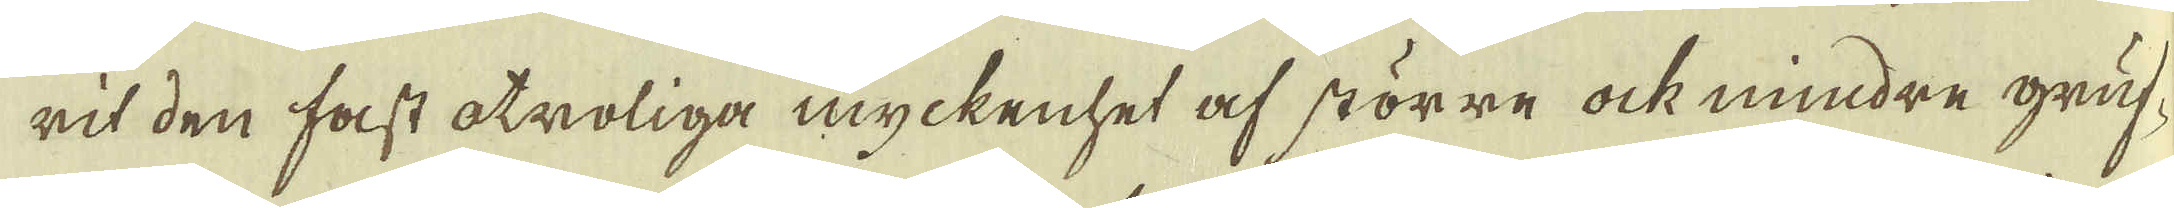rit den fast otroliga myckenhet af större ock mindre gruf-
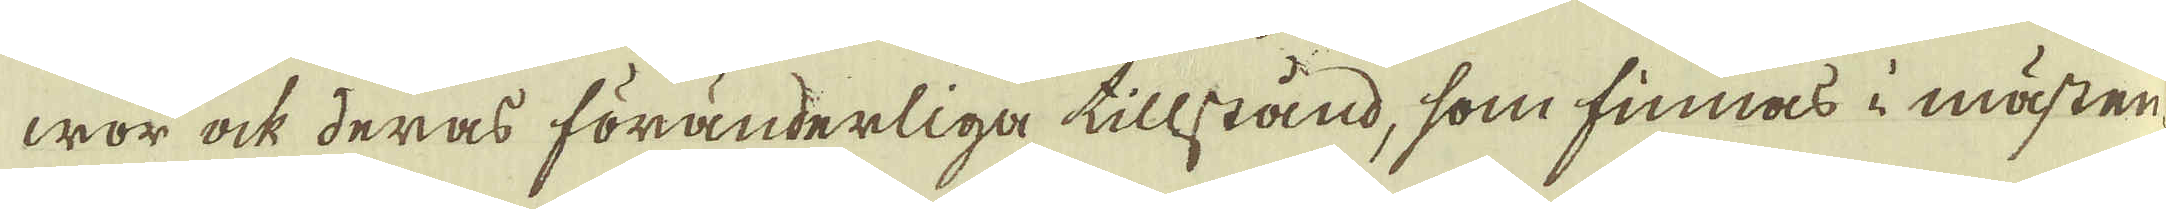wor ock deras föränderliga tillstånd, som finnas i mästan-
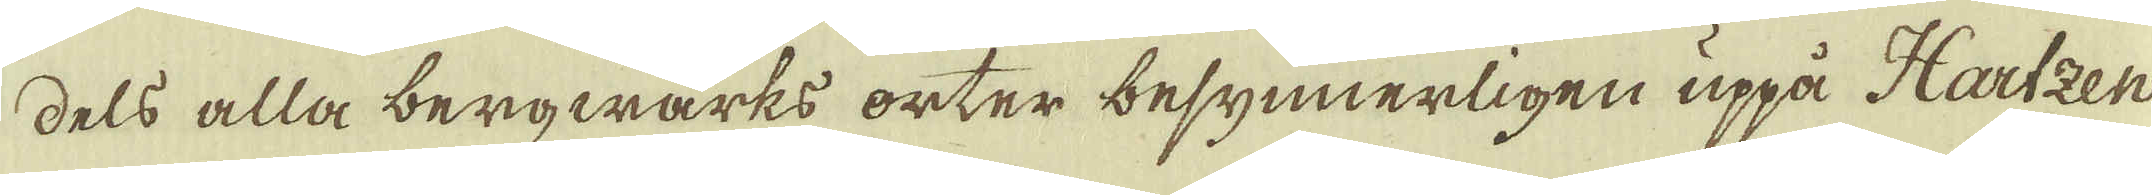dels alla bergwärks orter besynnerligen uppå Hartzen
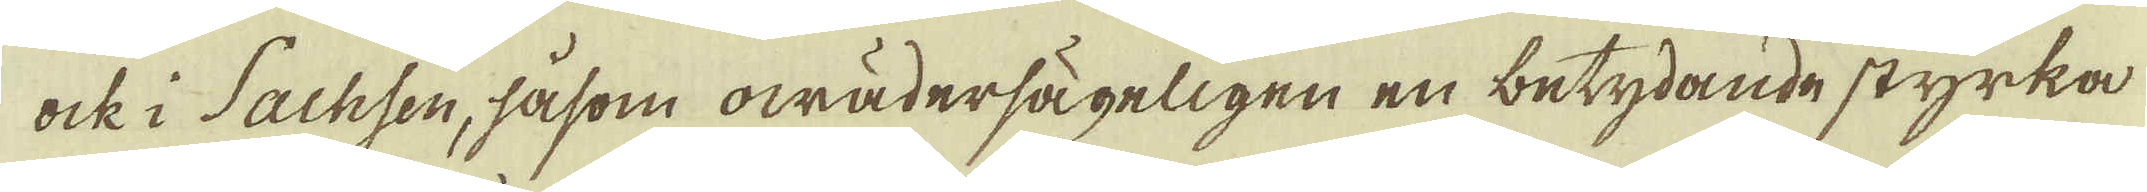ock i Sachsen, såsom owädersägeligen en betydande styrka
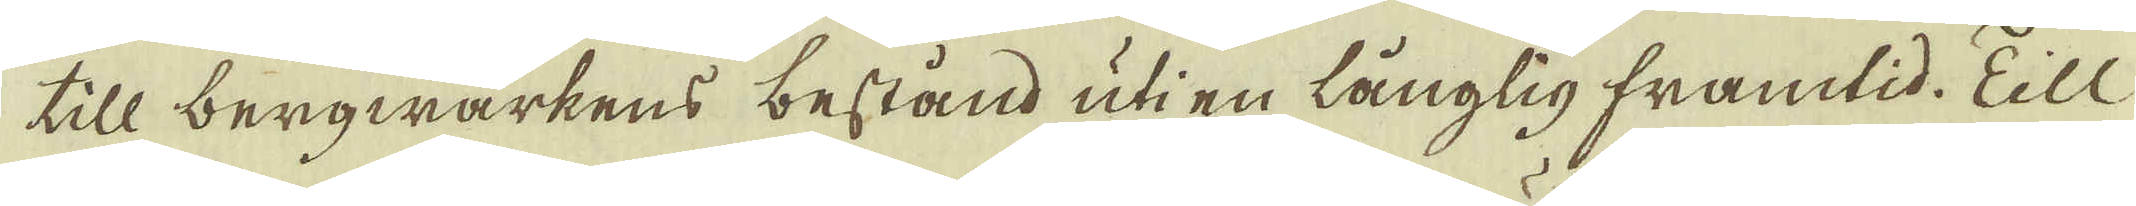till bergwärkens bestånd uti en långlig framtid. Till
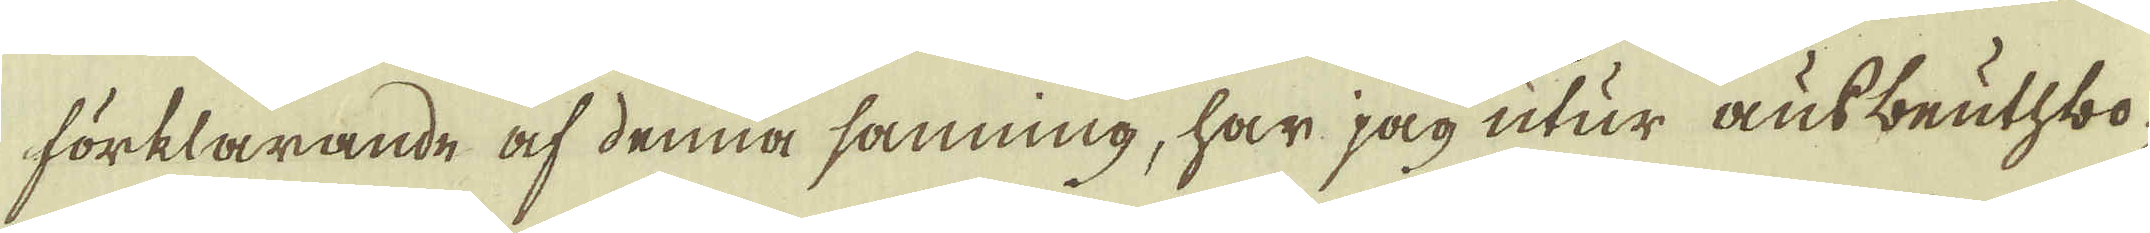förklarande af denna sanning, har jag utur ausbeuthbo-
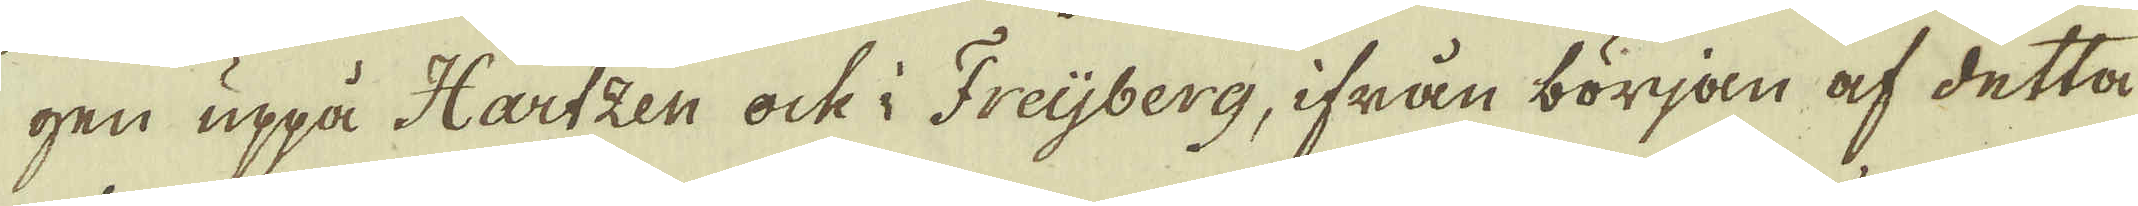gen uppå Hartzen ock i Freijberg, ifrån början af detta
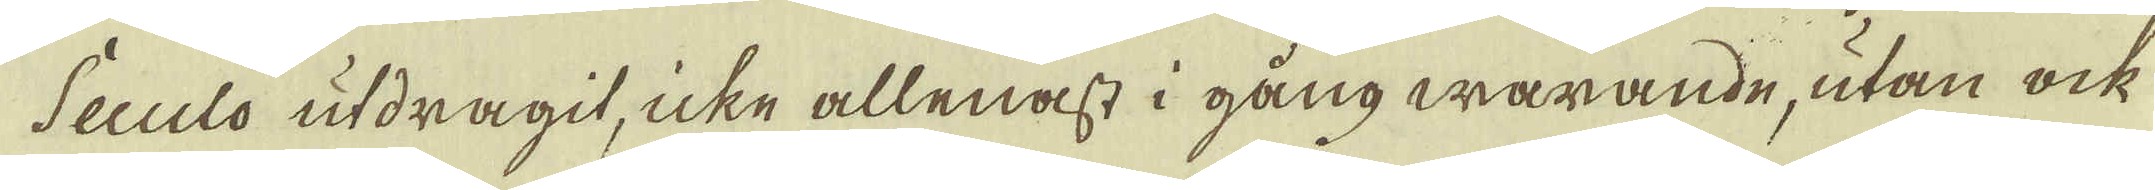Seculo utdragit, icke allenast i gång warande, utan ock
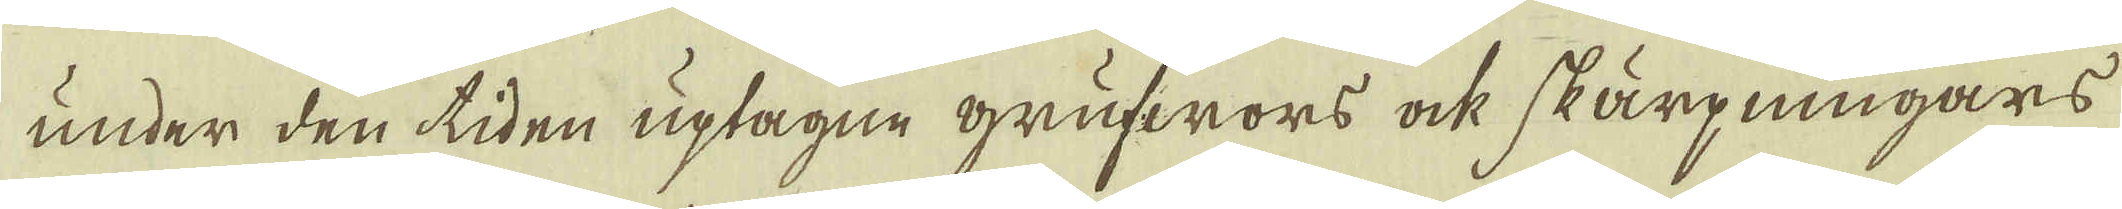under den tiden uptagne grufwors ock skärpningars
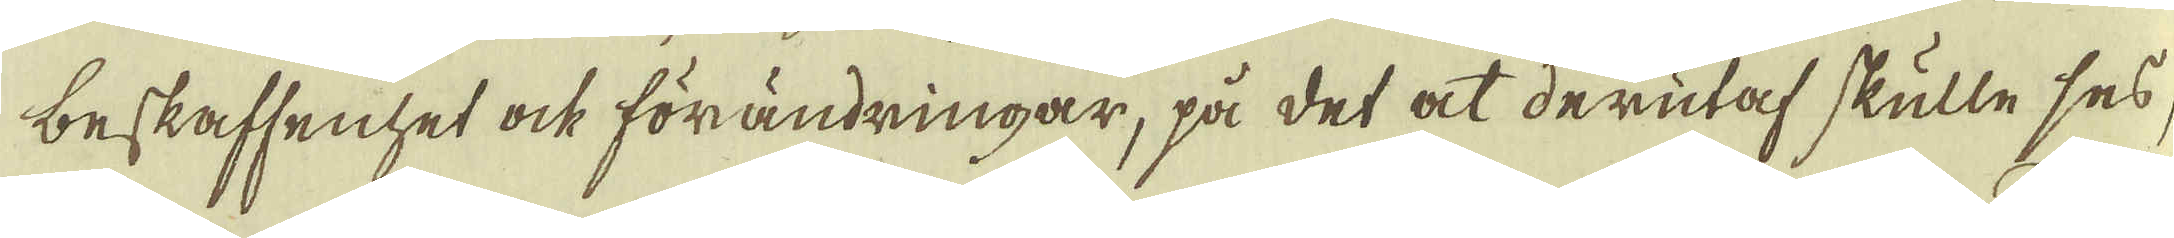beskaffenhet ock förändringar, på det at derutaf skulle ses
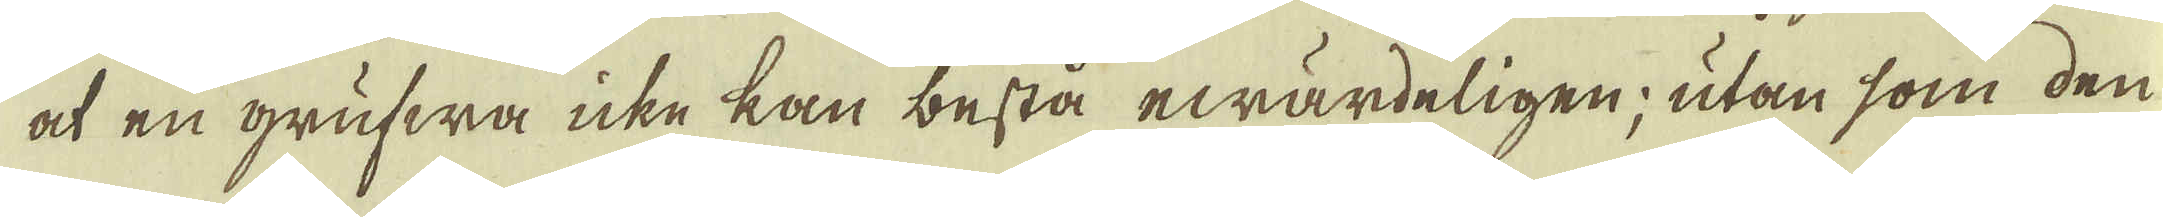at en grufwa icke kan bestå ewärdeligen; utan som den
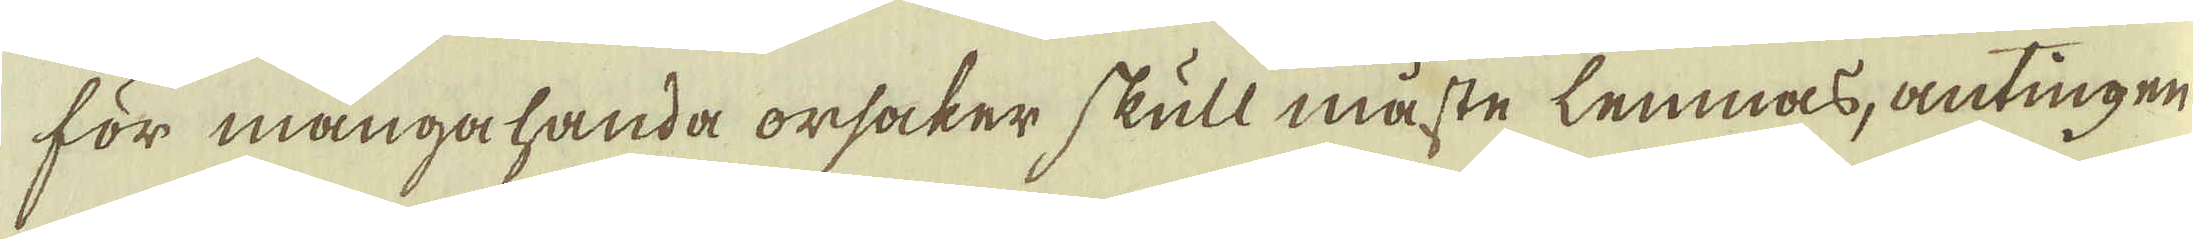för mångahanda orsaker skull måste lemnas, antingen
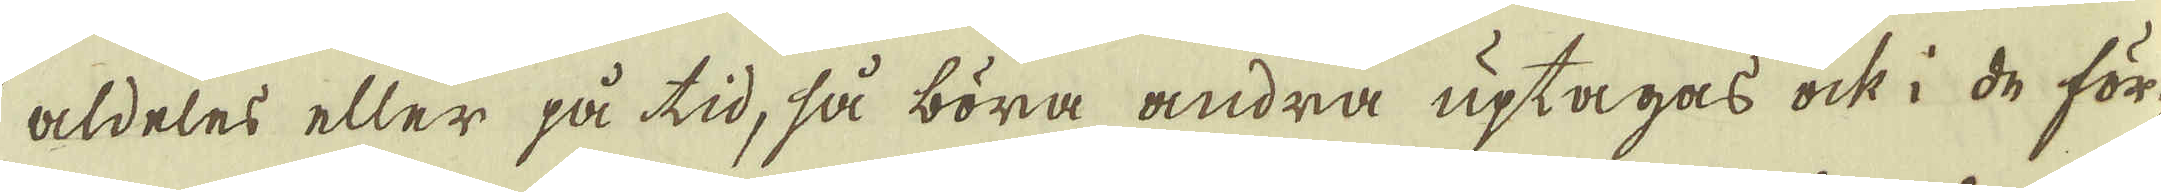aldeles eller på tid, så böra andra uptagas ock i de för-
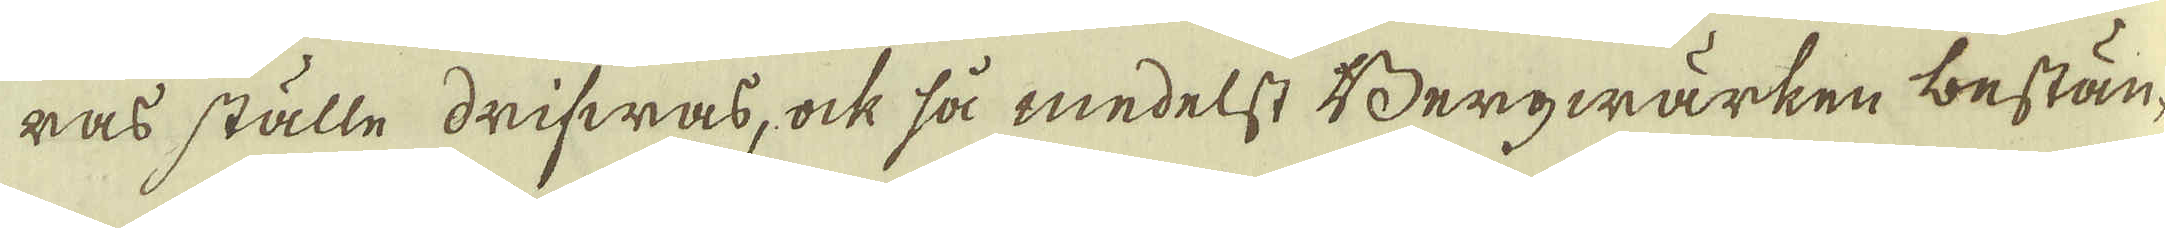ras ställe drifwas, ock så medelst Bergwärken bestän-
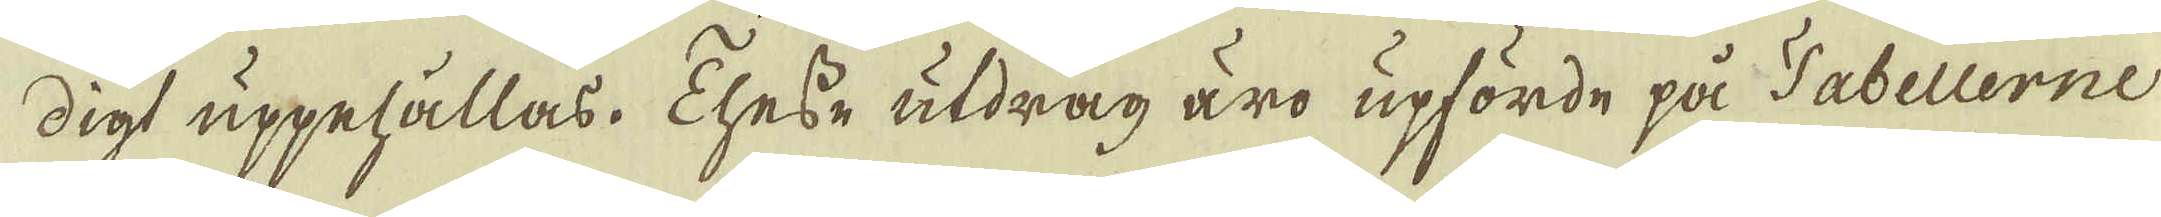digt uppehållas, these utdrag äro upförde på Tabellerne
